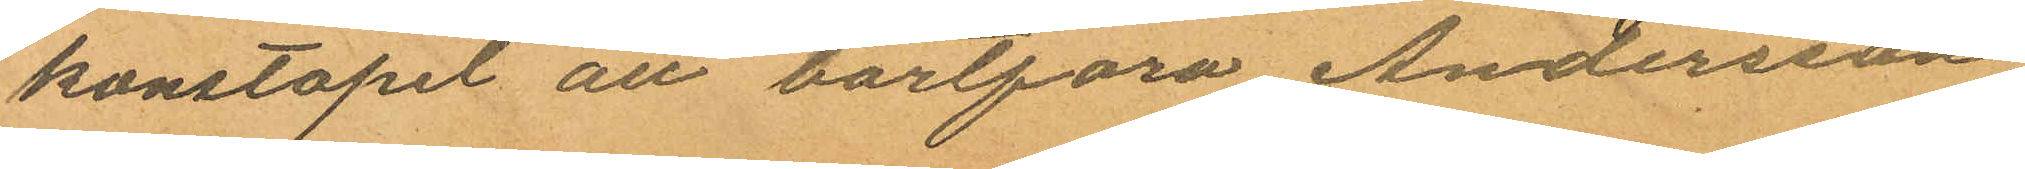konstapel att bortföra Andersson.
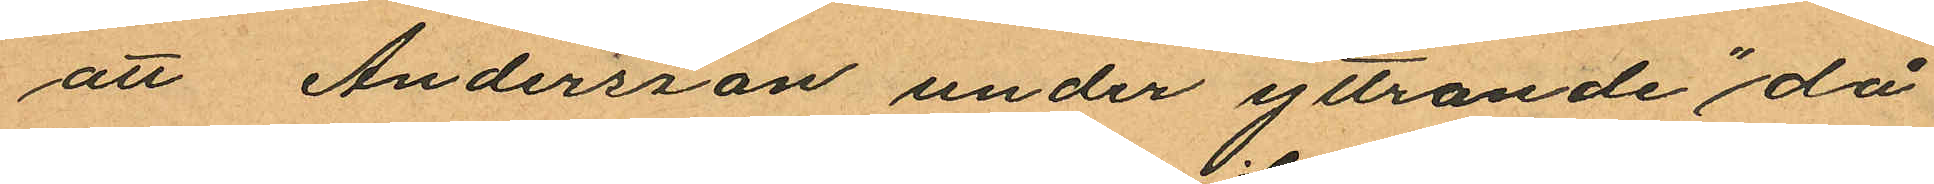att Andersson under yttrande "då
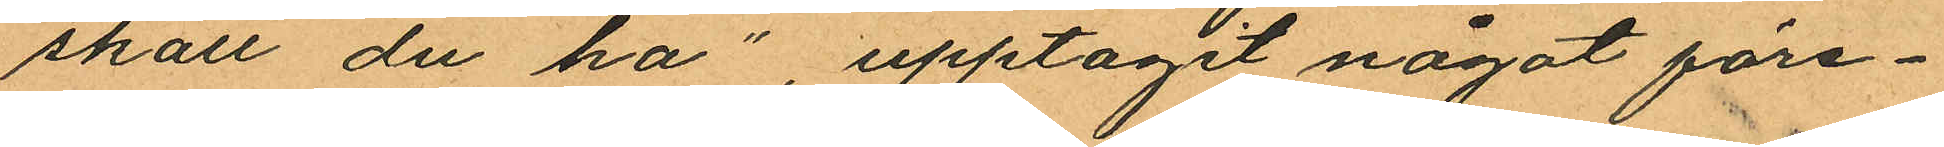skall du ha", upptagit något före¬
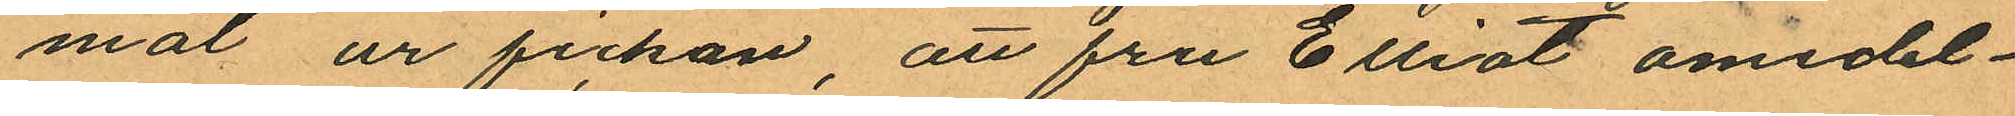mål ur fickan, att fru Elliot omedel¬
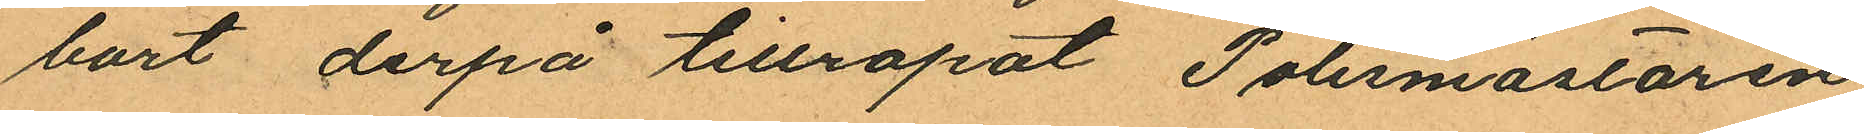bart derpå tillropat Polismästaren
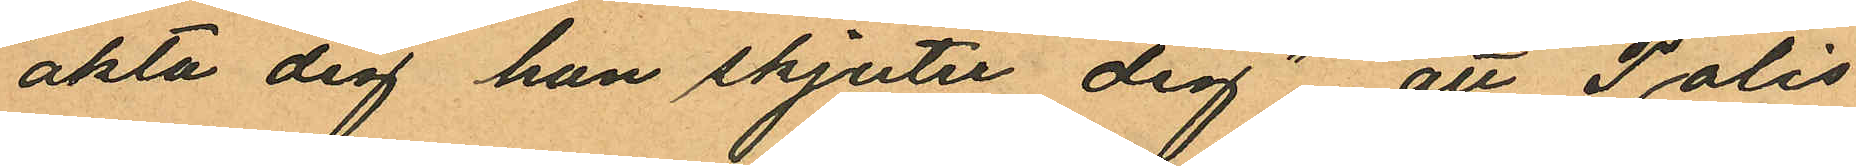"akta dig han skjuter dig"; att Polis¬
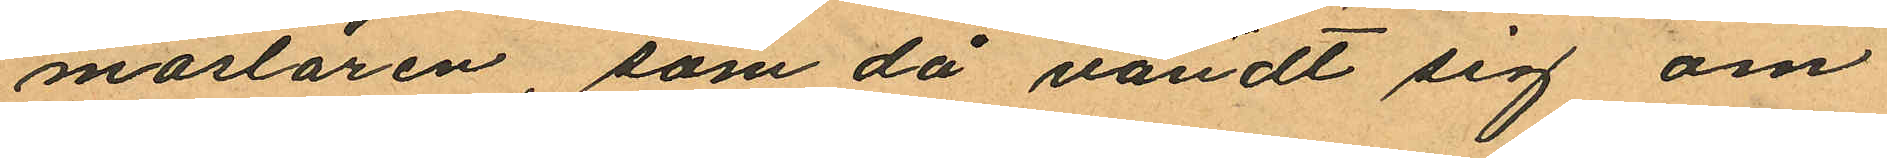mästaren, som då vändt sig om
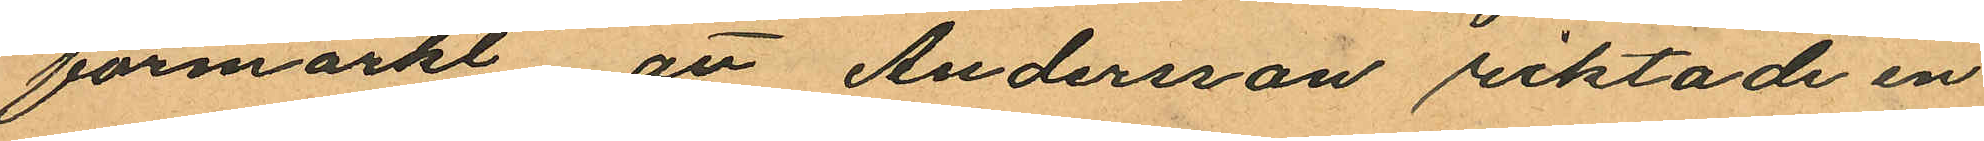förmärkt att Andersson riktade en
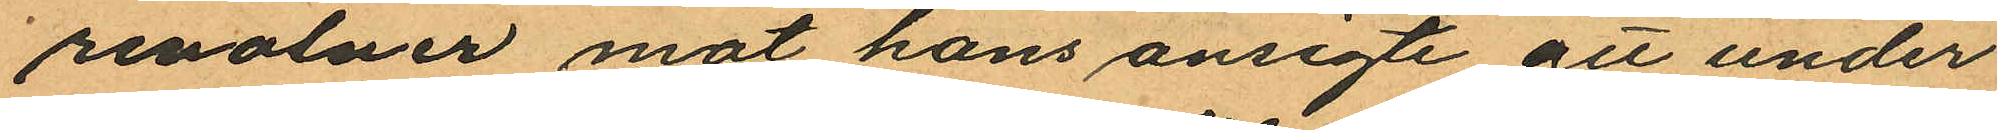revolver mot hans ansigte att under
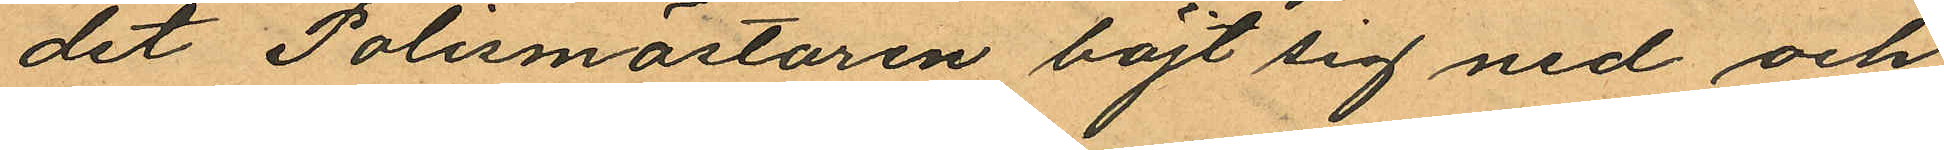det Polismästaren böjt sig ned och
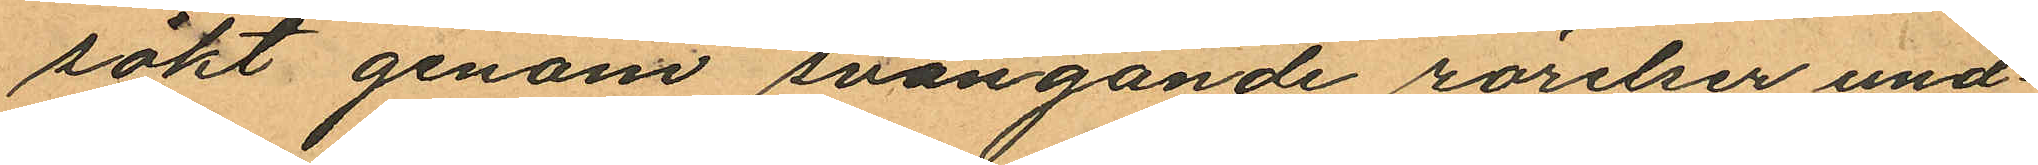sökt genom svängande rörelser und¬
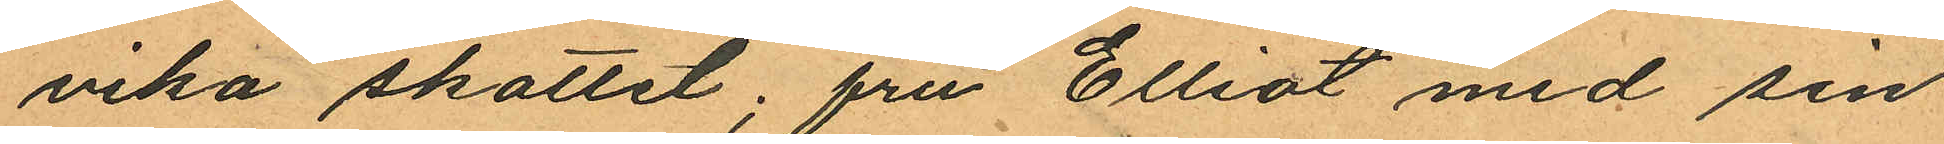vika skottet; fru Elliot med sin
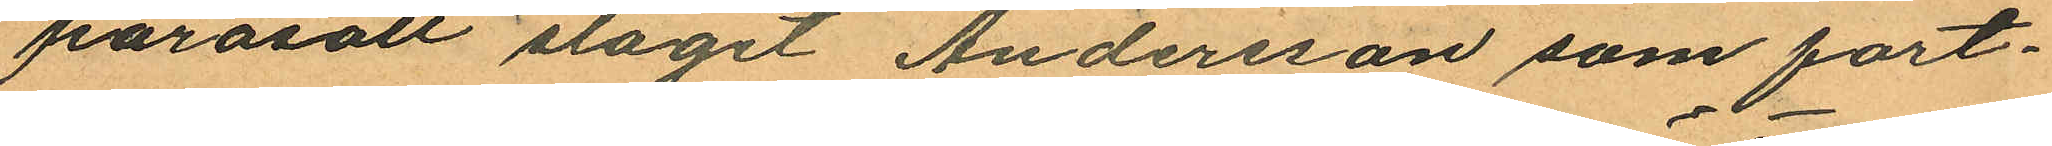parasoll slagit Andersson som fort¬
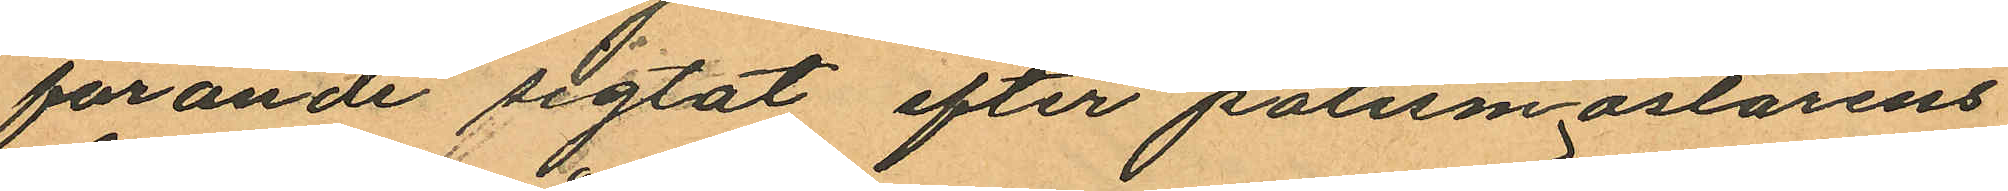farande sigtat efter polismästärens
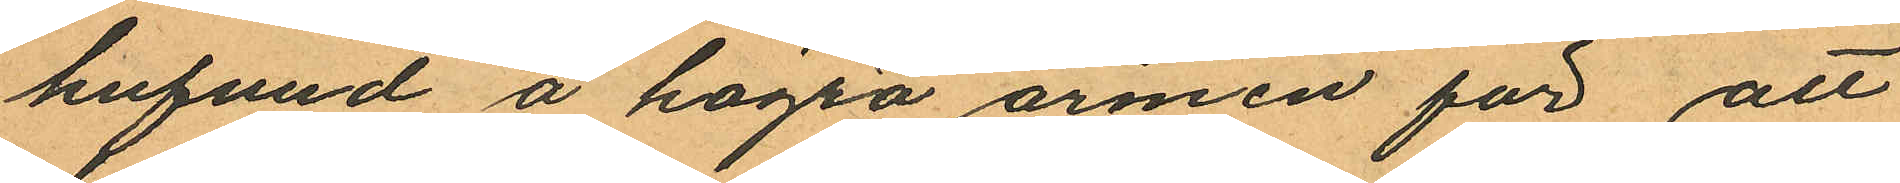hufvud å högra armen för att
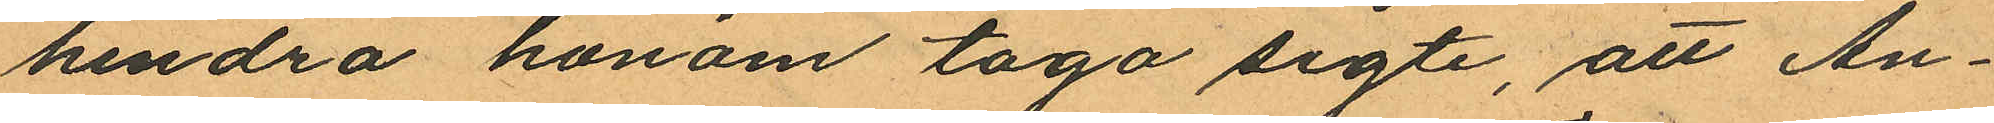hindra honom taga sigte, att An¬
